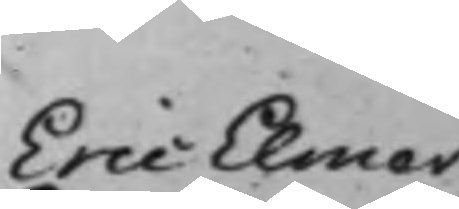Eric Elmer
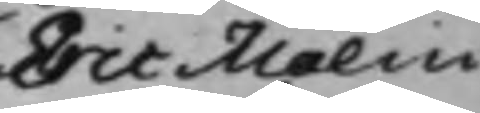Eric Malm
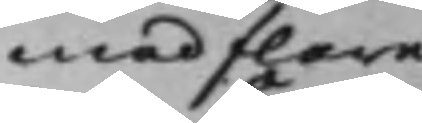med flere
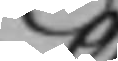C
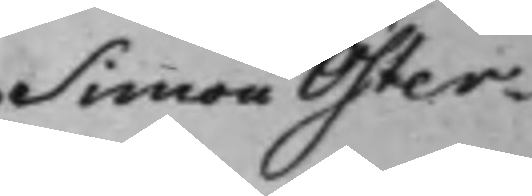Simon Öster¬
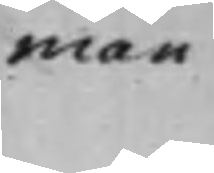man
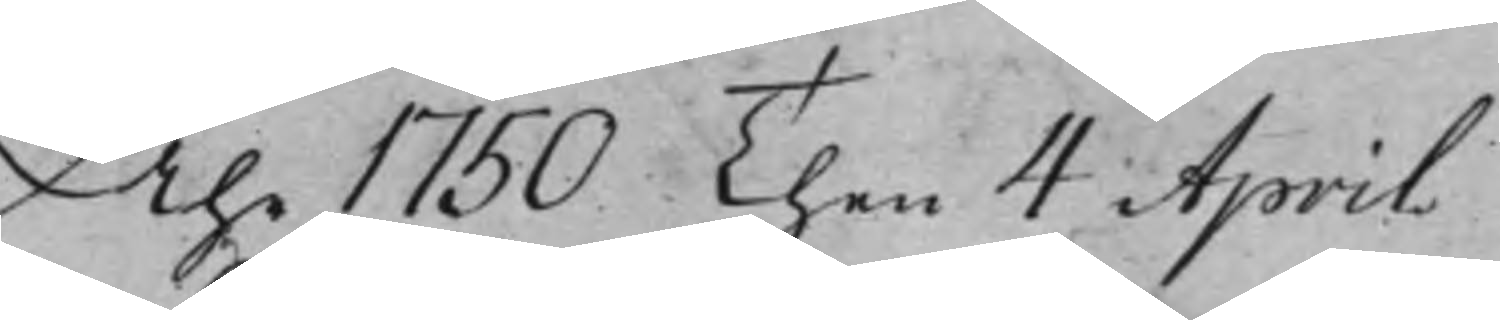Åhr 1750 Then 4 April
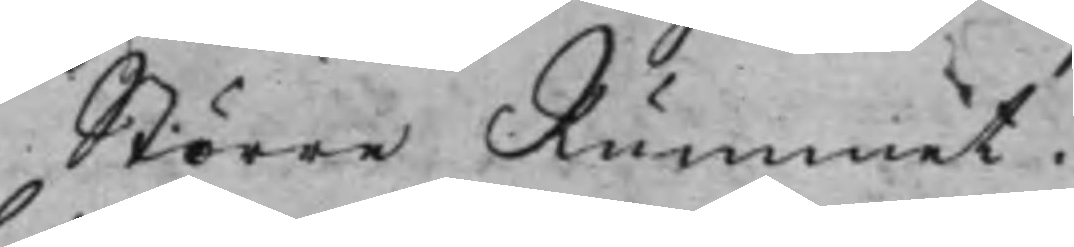Större Rummet.
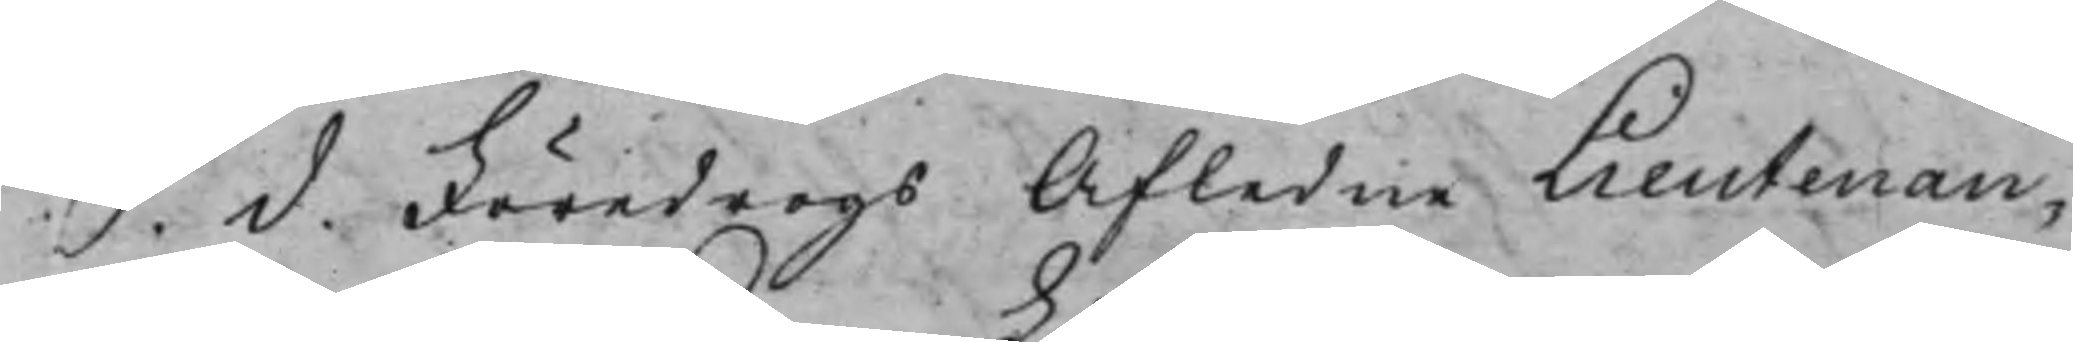S. d. Föredrogs Afledne Lieutenan¬
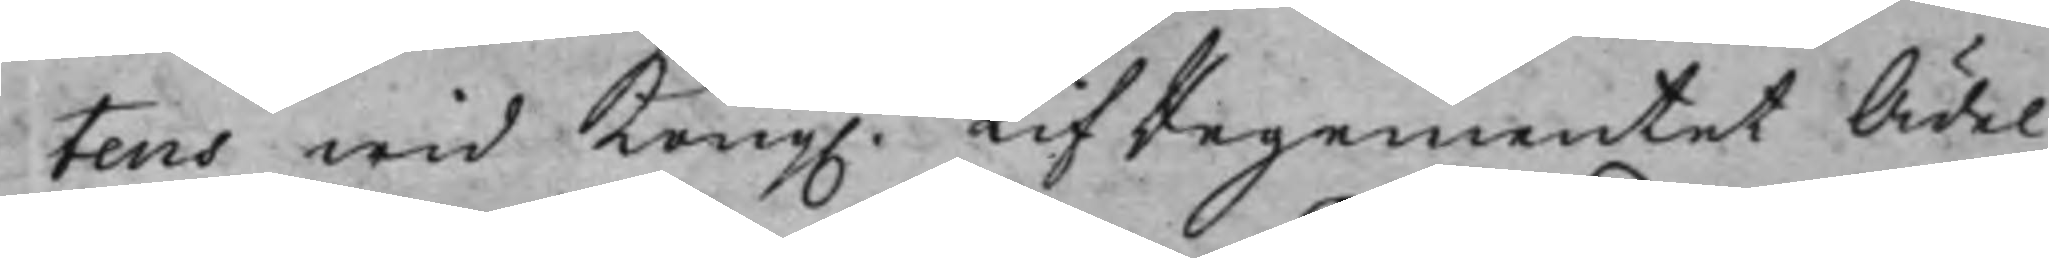tens wid Kong. LifRegementet Ädel
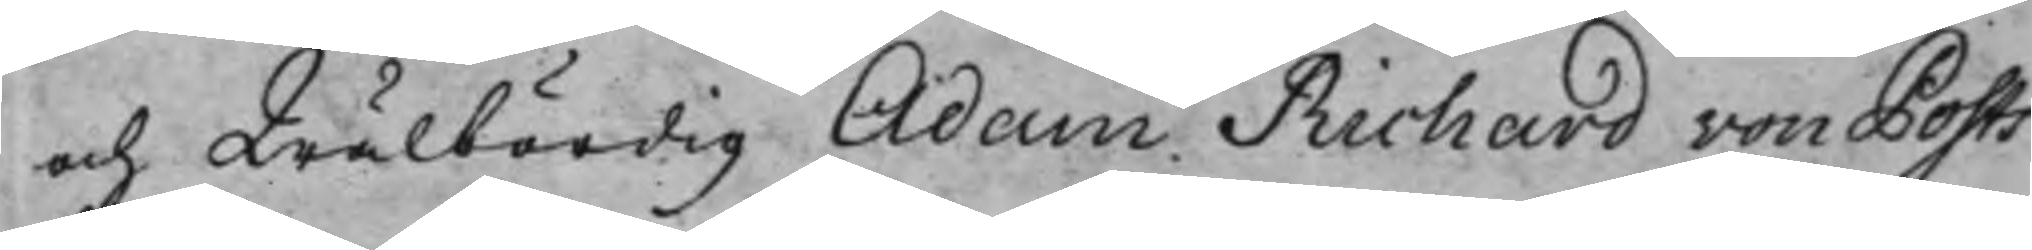och Wälbördig Adam Richard von Posts
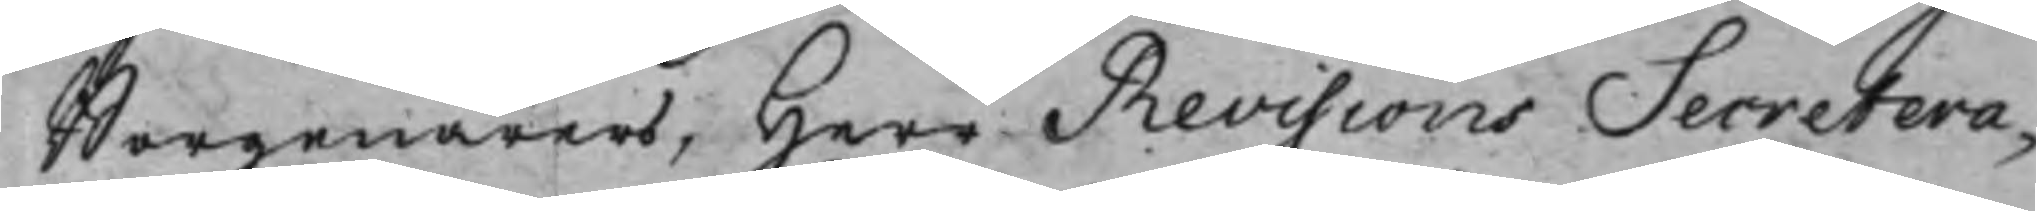Borgenärers, Herr Revisions Secretera¬
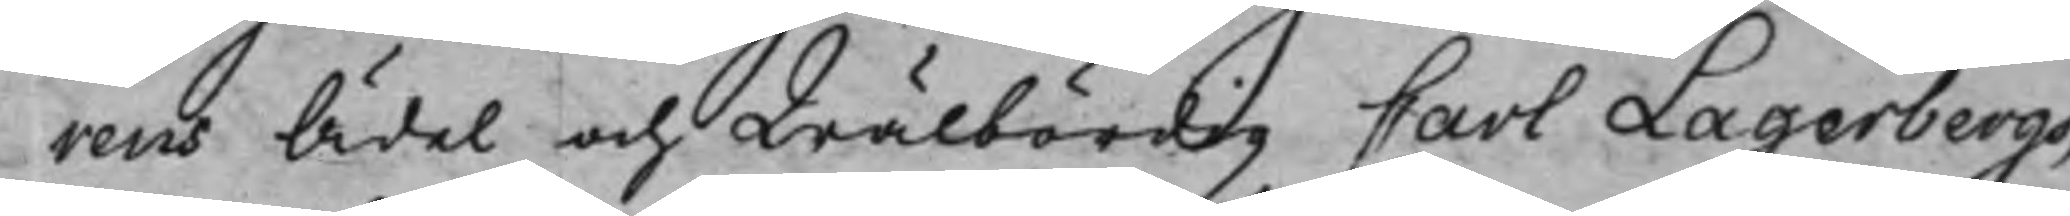rens Ädel och Wälbördig Carl Lagerbergs,
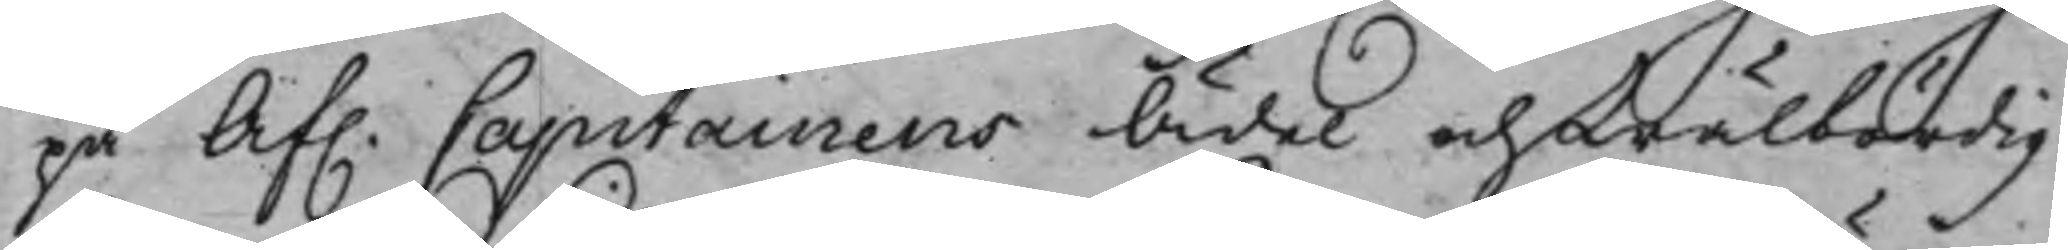på Af. Capitainens Ädel och Wälbördig
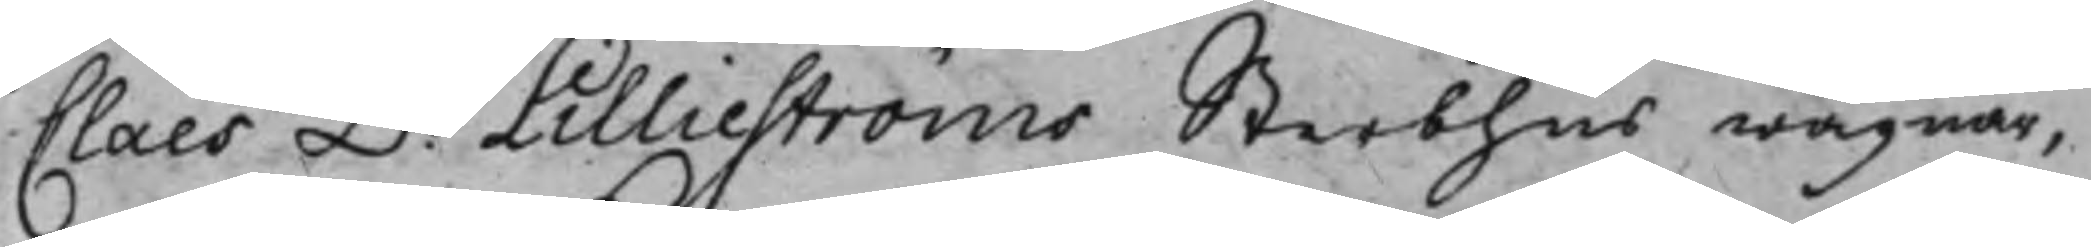Claes D: Lillieströms Sterbhus wägnar,
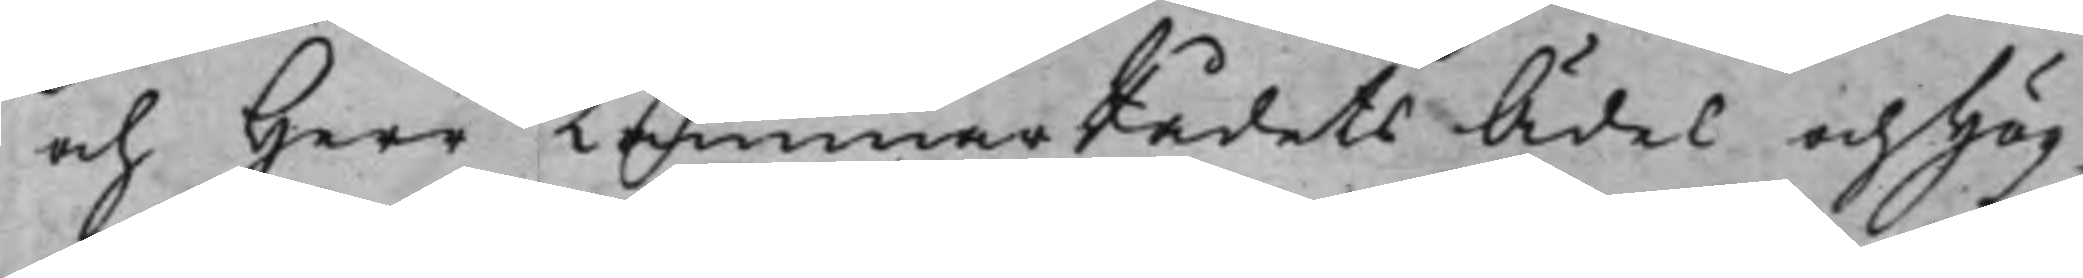och Herr KammarRådets Ädel och Hög¬
